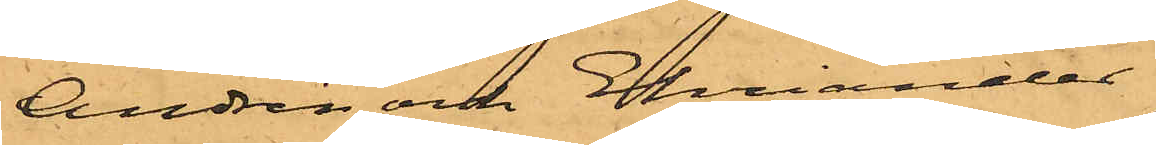Andrén och Ehriander
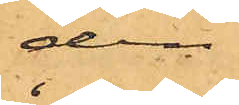den
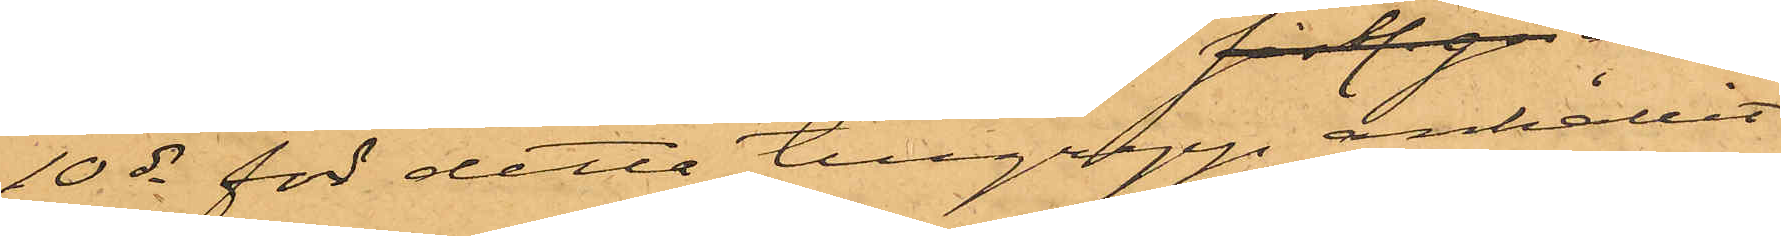10 ds för detta tillgrepp anhållit
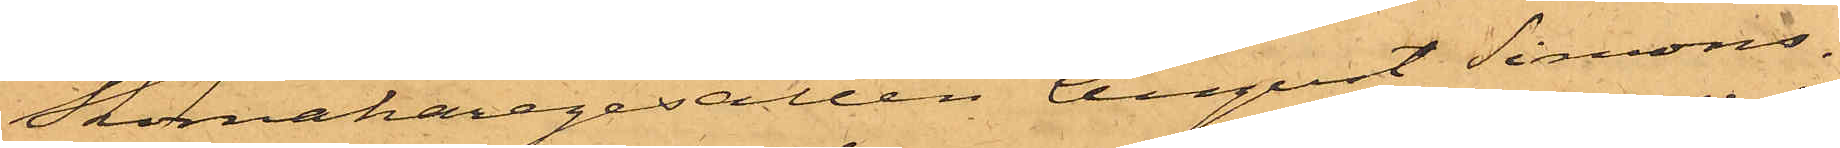Skomakaregesällen August Simons¬
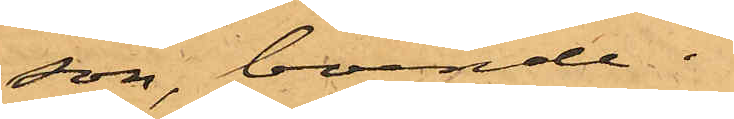son, boende i
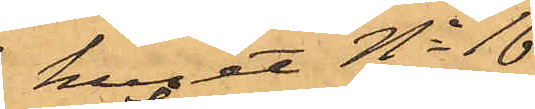huset No 16
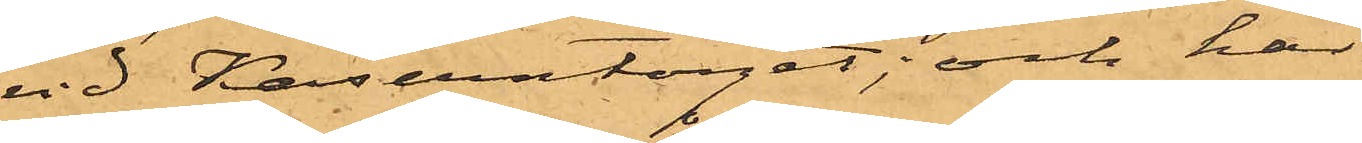vid Kaserntorget; och har
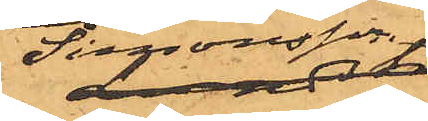Simonsson,
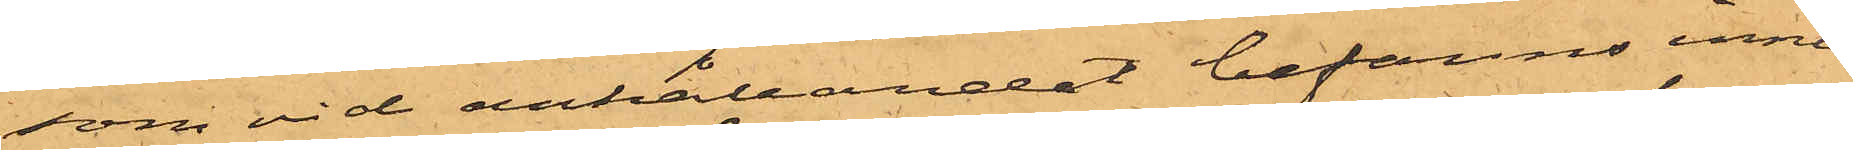som vid anhållandet befanns inne¬
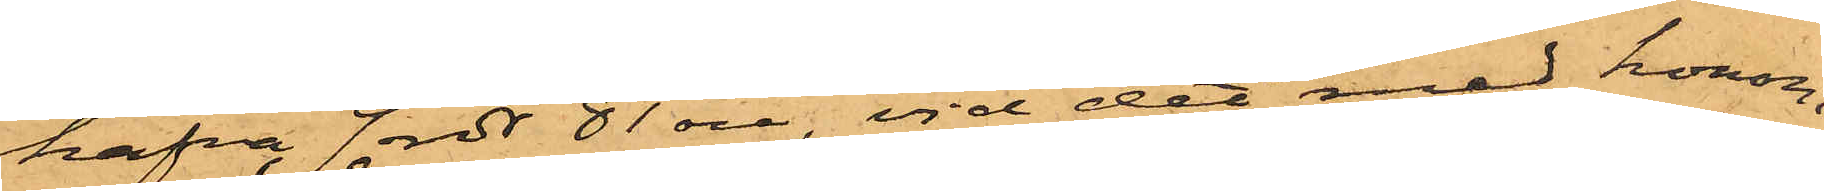hafva 9 rdr 81 öre, vid det med honom
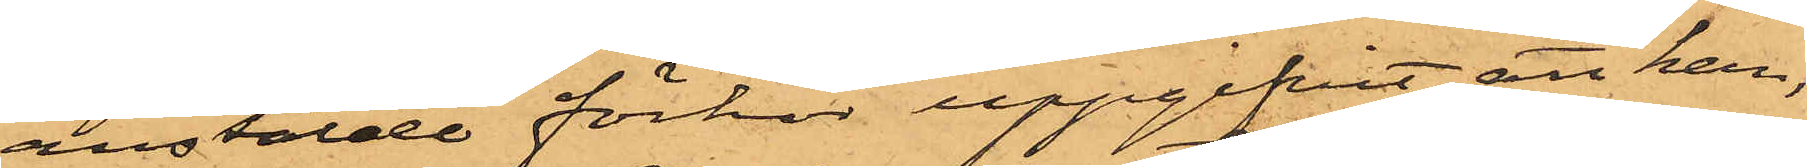anstälde förhör uppgifvit, att han,
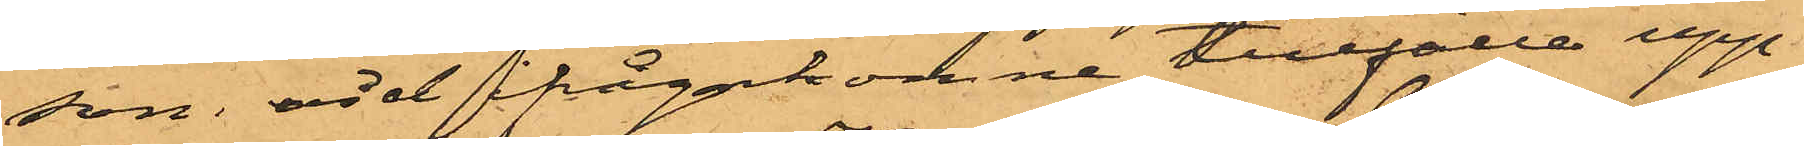som vid ifrågakomne tillfälle upp¬
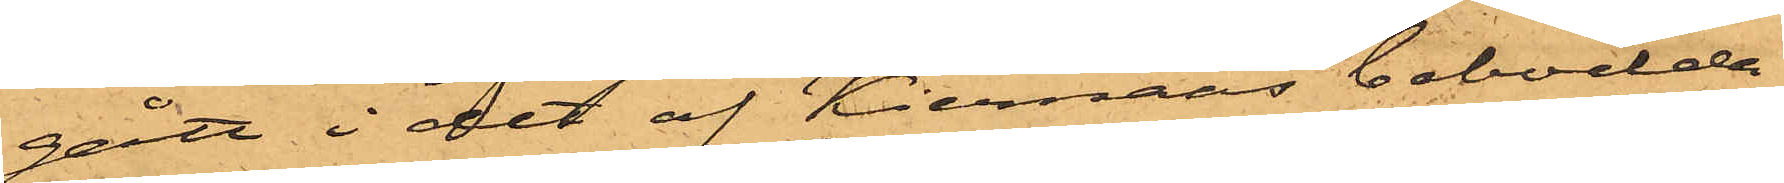gått i det af Kiernaas bebodde
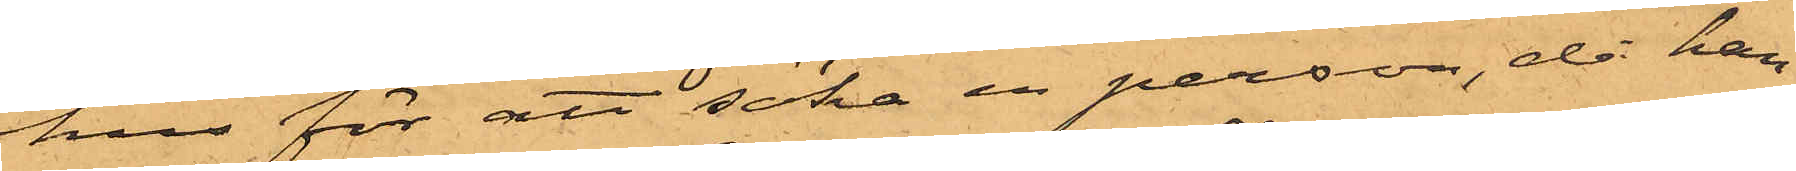hus för att söka en person, då han
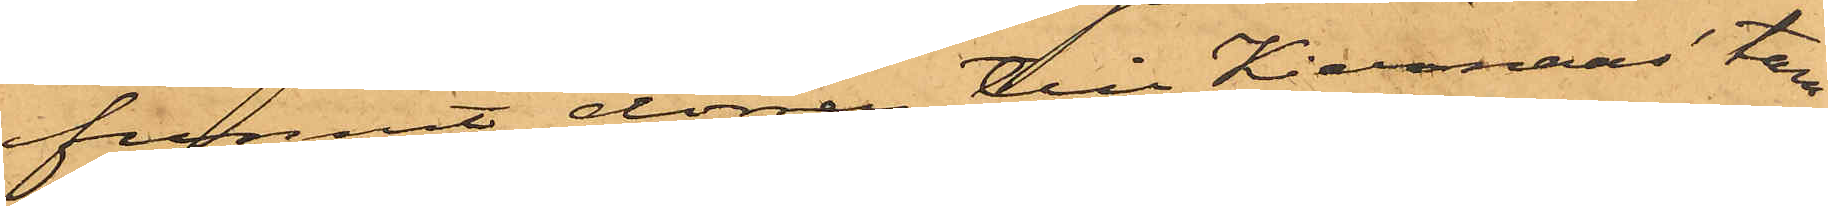funnit dörren till Kiernaas' tam¬
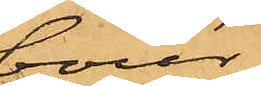bour
